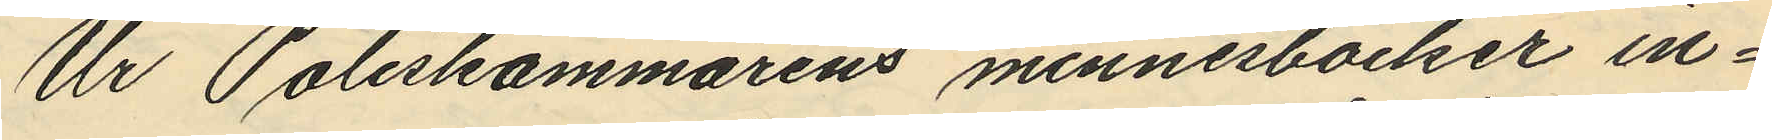Ur Poliskammarens minnesböcker in¬
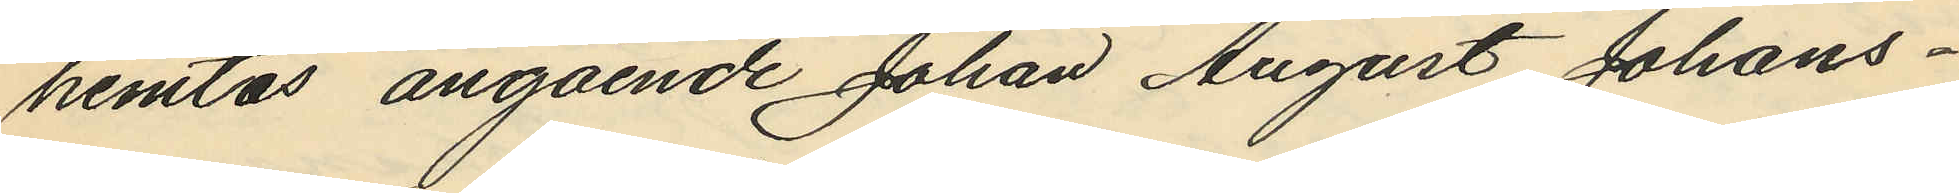hemtas angående Johan August Johans¬
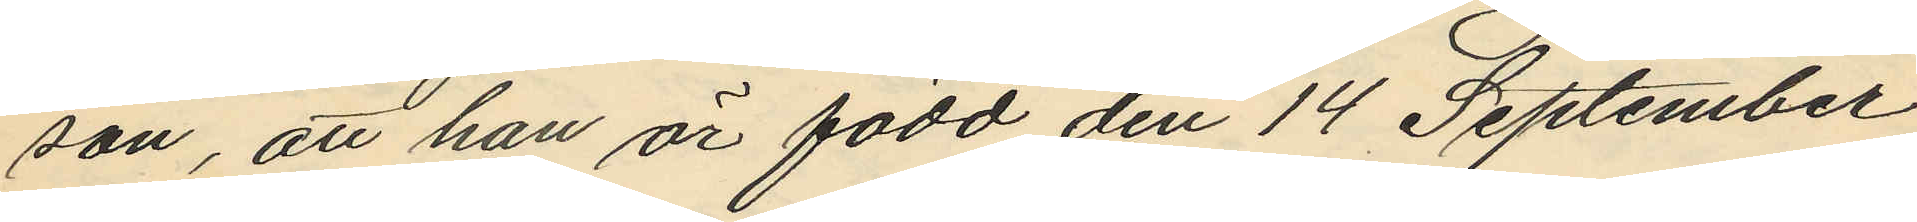son, att han är född den 14 September
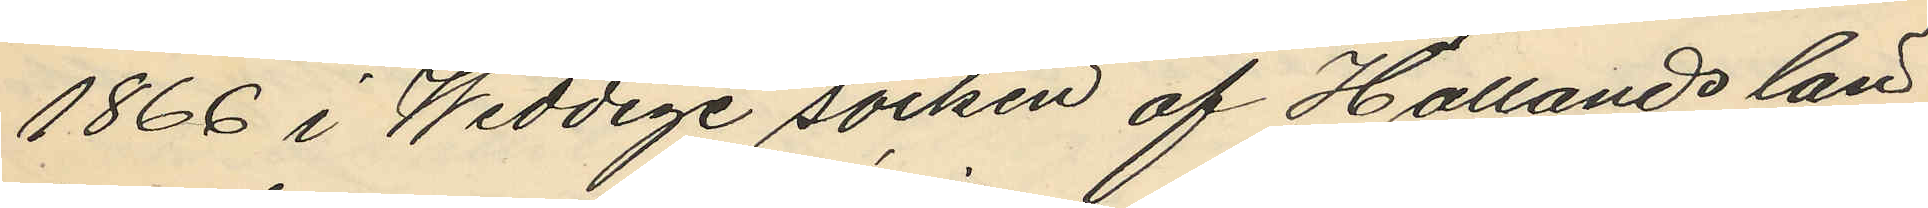1866 i Weddige socken af Hallands län
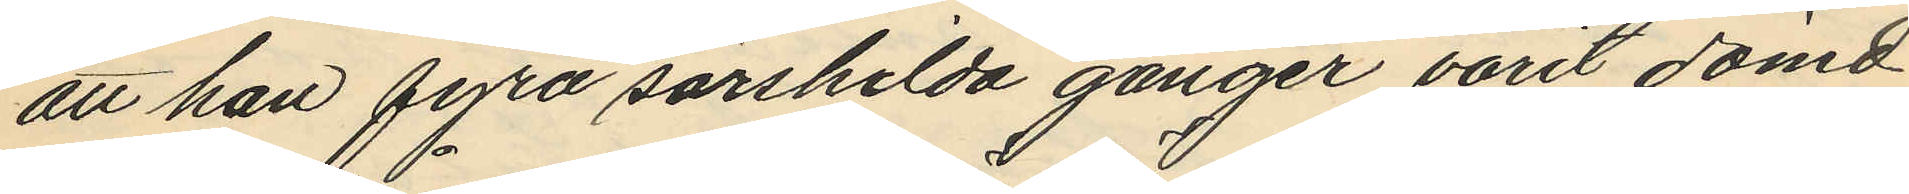att han fyra särskilda gånger varit dömd
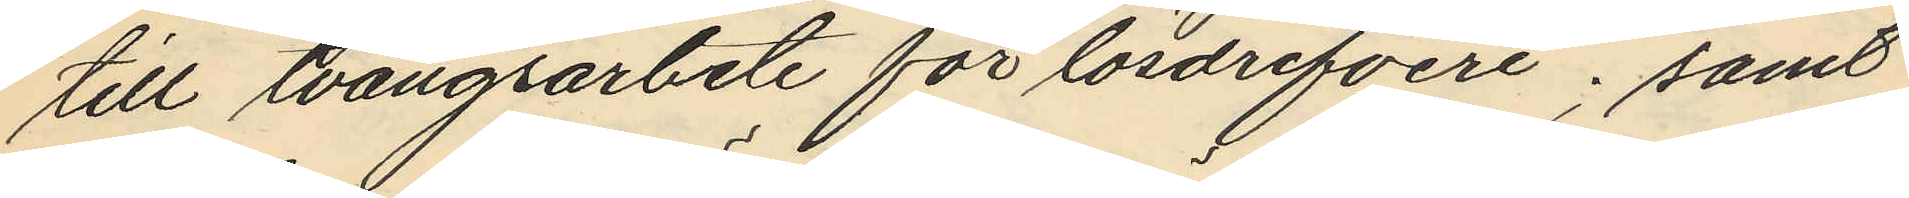till tvångsarbete för lösdrifveri; samt
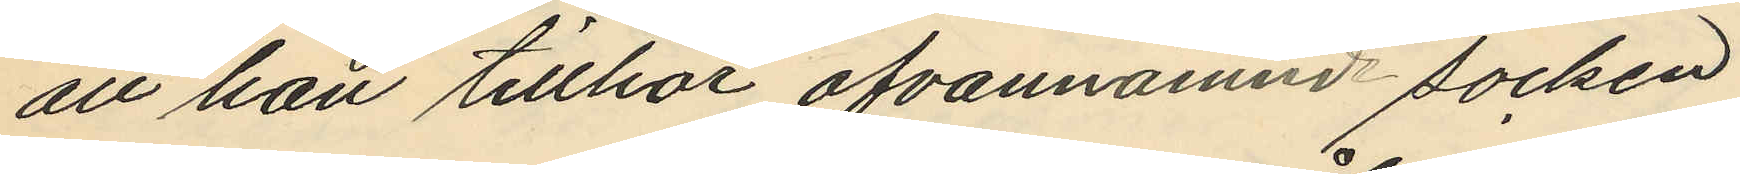att han tillhör ofvannämnd socken
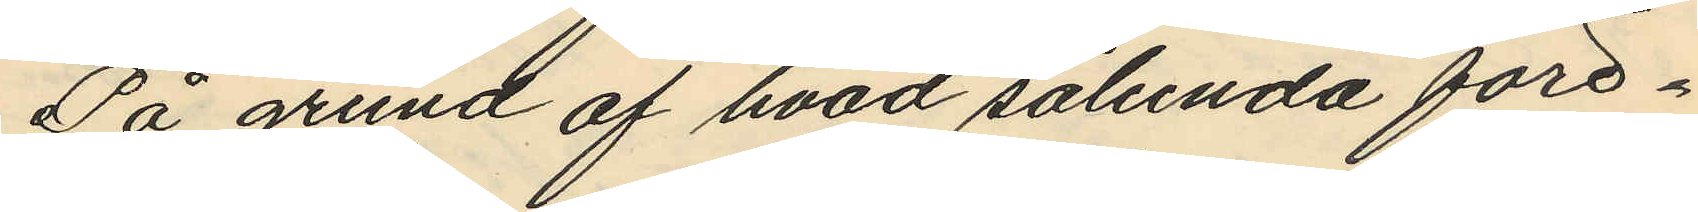På grund af hvad sålunda före¬
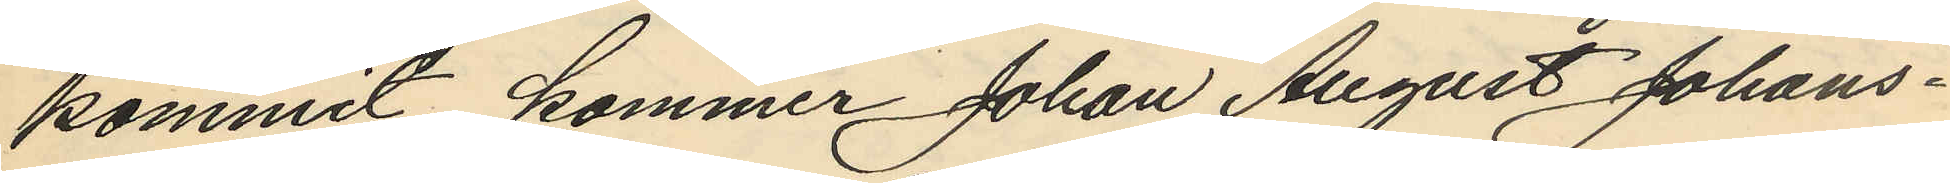kommit kommer Johan August Johans¬
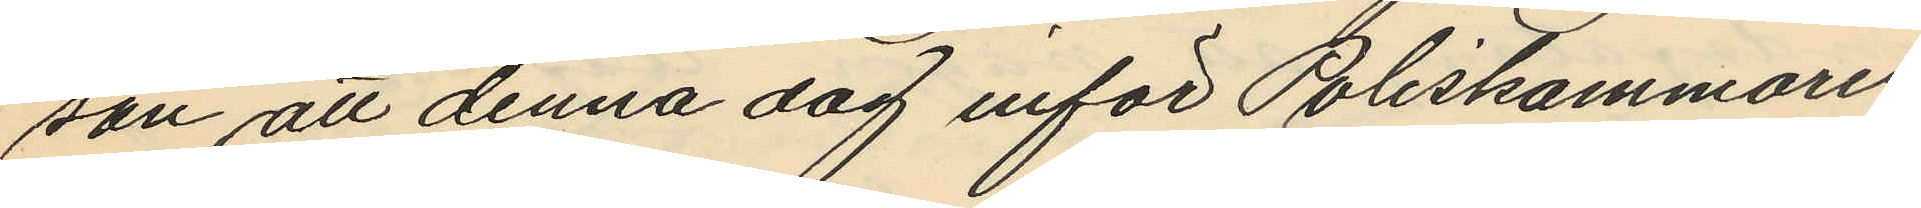son att denna dag inför Poliskammaren
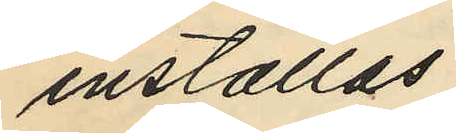inställas.
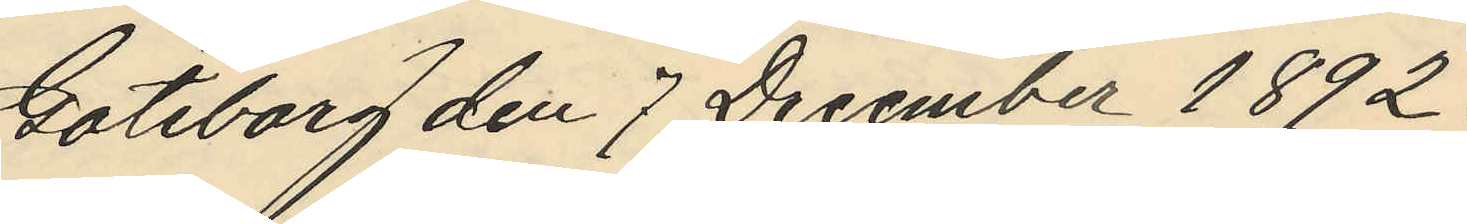Göteborg den 7 December 1892.
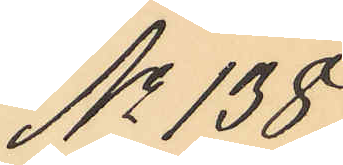No 138.
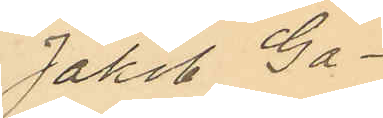Jakob Ga¬
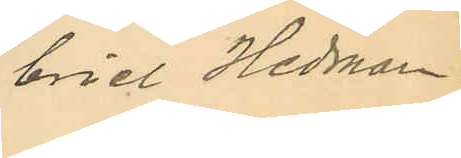briel Hedman.
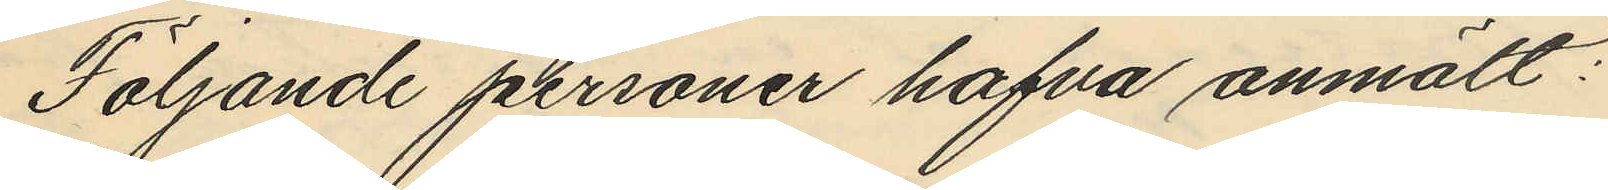Följande personer hafva anmält:
